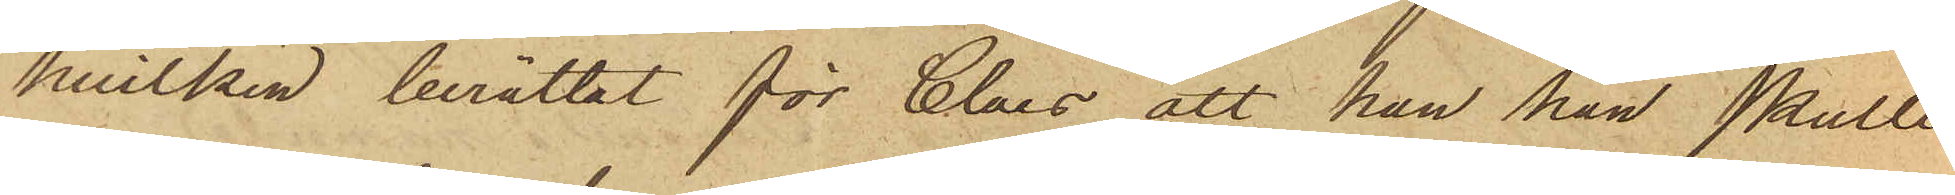hvilken berättat för Claes att han han skulle
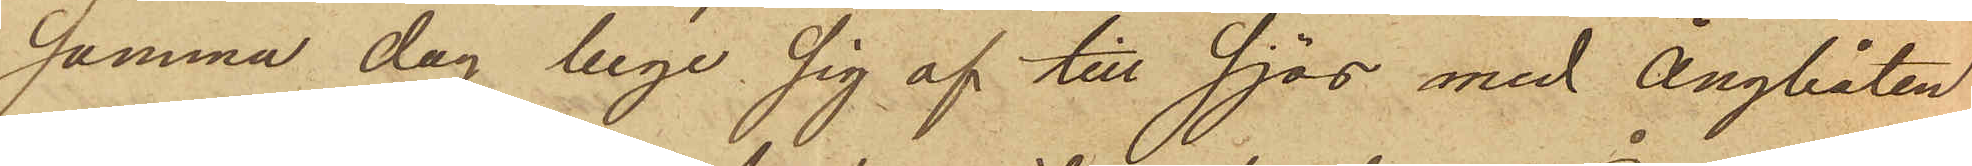samma dag bege sig af till sjös med Ångbåten
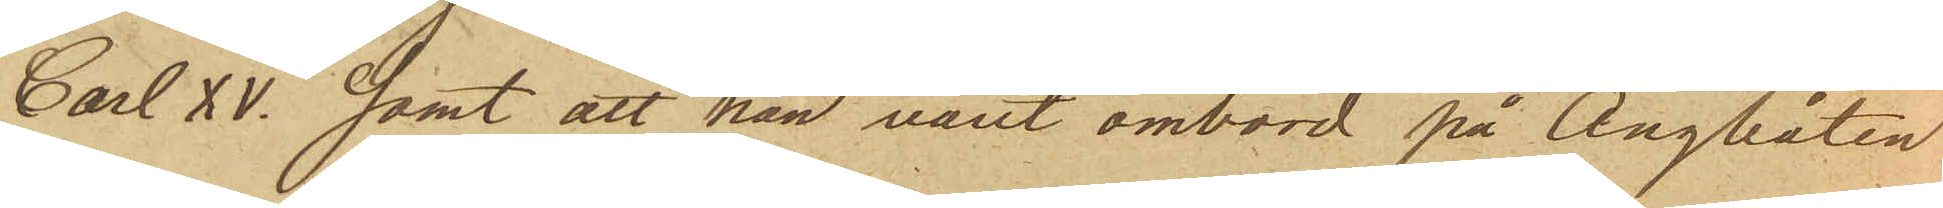Carl XV. samt att han varit ombord på Ångbåten
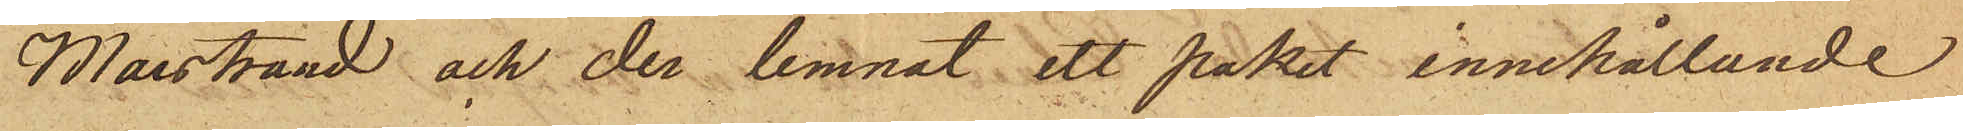Marstrand och der lemnat ett paket innehållande
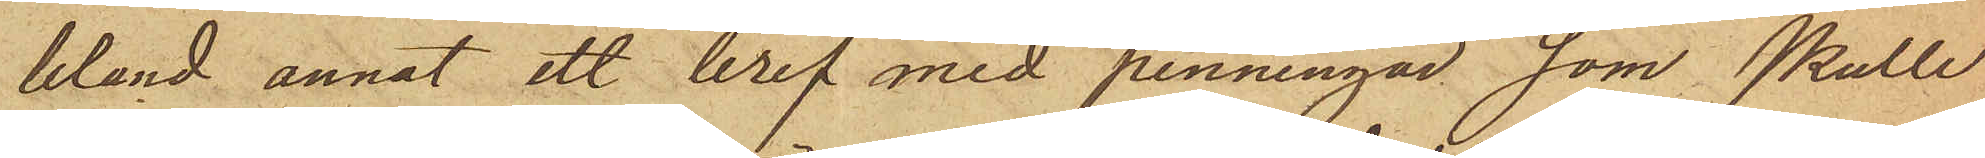bland annat ett bref med penningar, som skulle
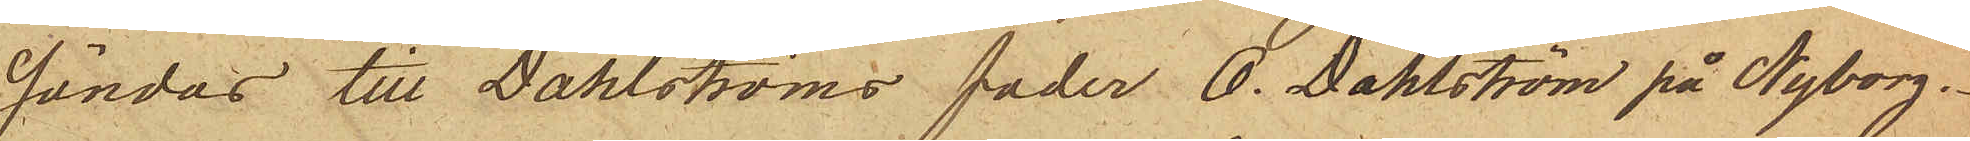sändas till Dahlströms fader O. Dahlström på Nyborg.
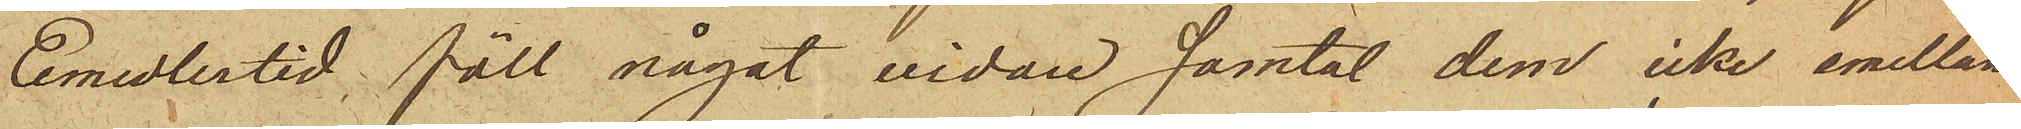Emedlertid föll något vidare samtal dem icke emellan
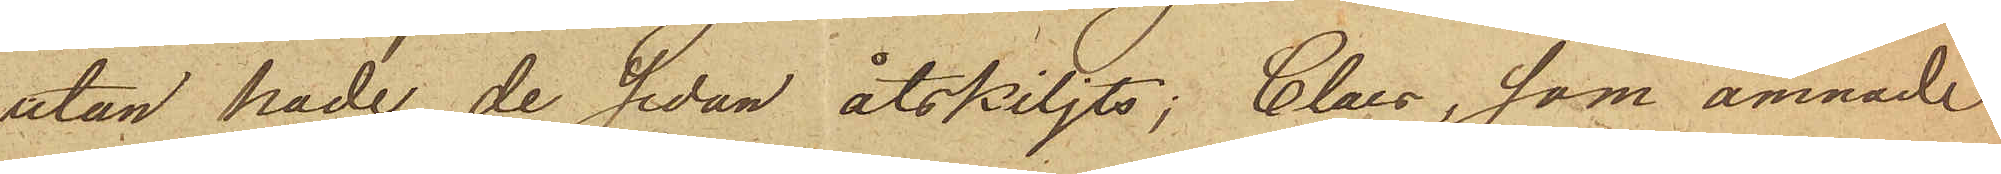utan hade de sedan åtskiljts; Claes, som ämnade
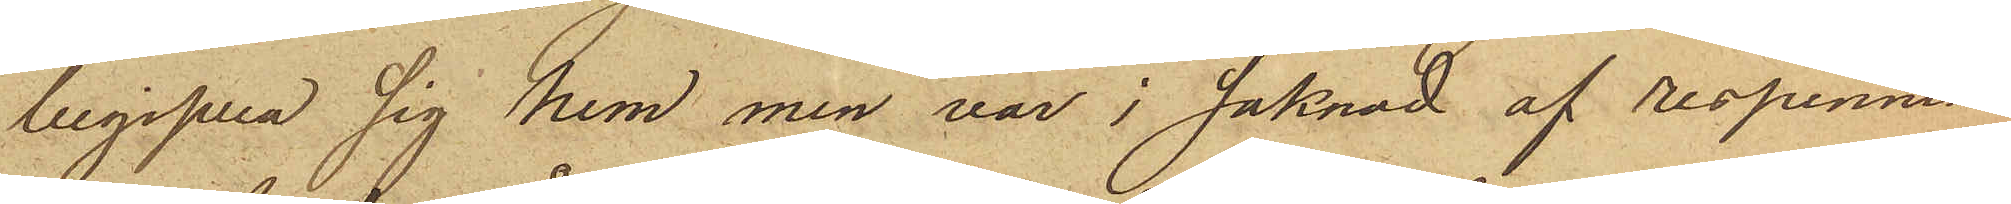begifva sig hem men var i saknad af respennin¬
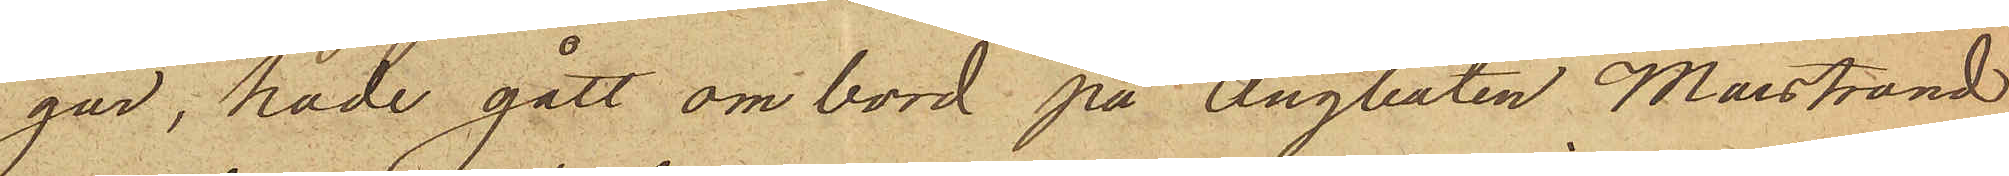gar, hade gått om bord på Ångbåten Marstrand
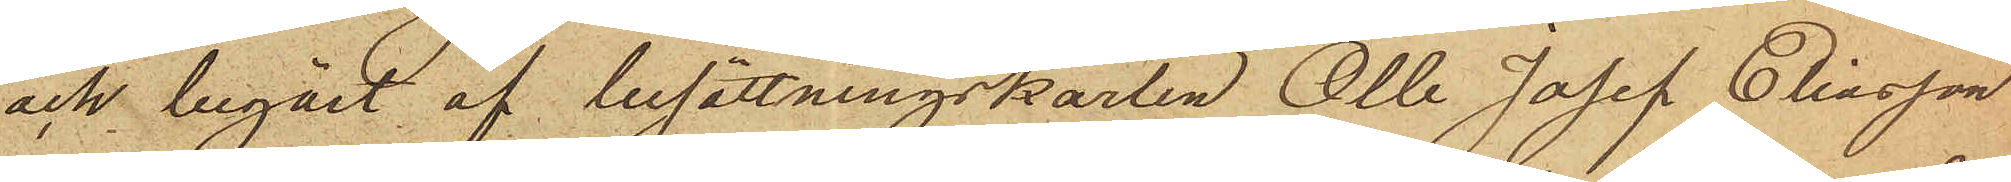och begärt af besättningskarlen Olle Josef Eliasson
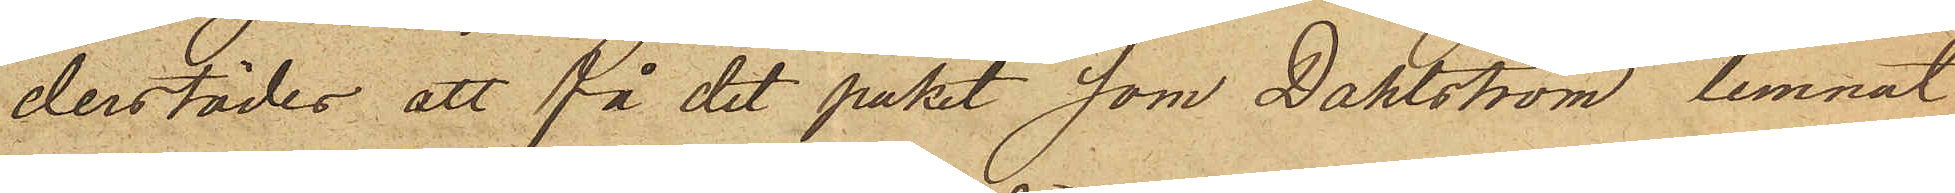derstädes att få det paket som Dahlström lemnat
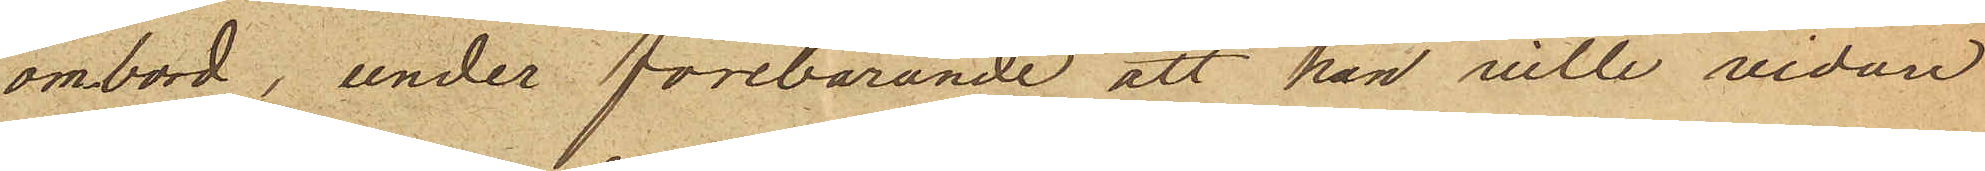ombord, under förebärande att han ville vidare
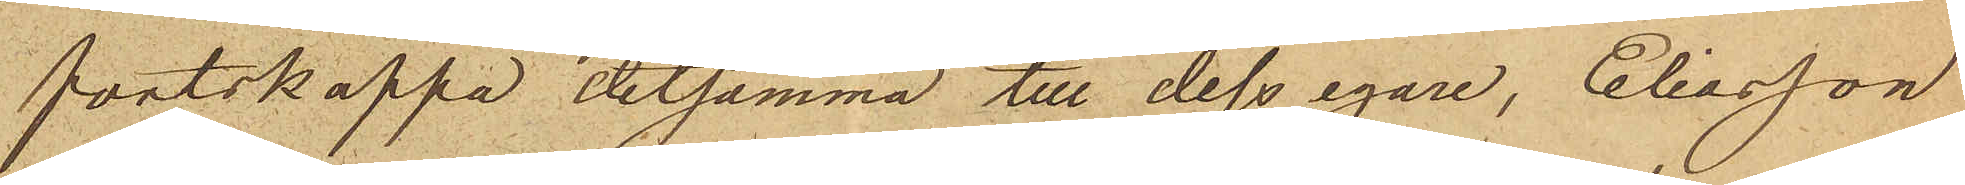fortskaffa detsamma till dess egare, Eliasson
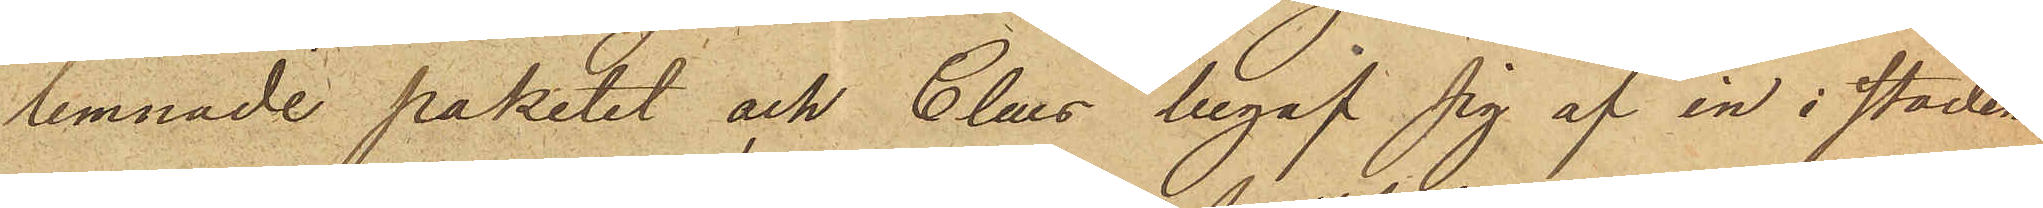lemnade paketet och Claes begaf sig af in i staden
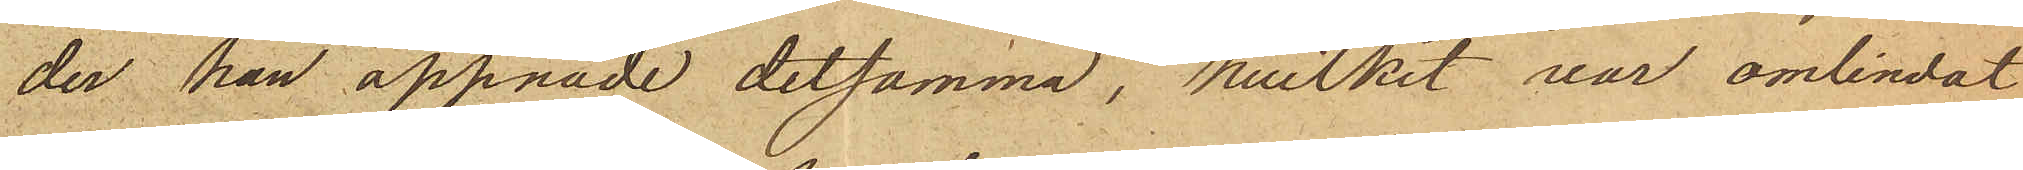der han öppnade detsamma, hvilket var omlindat
